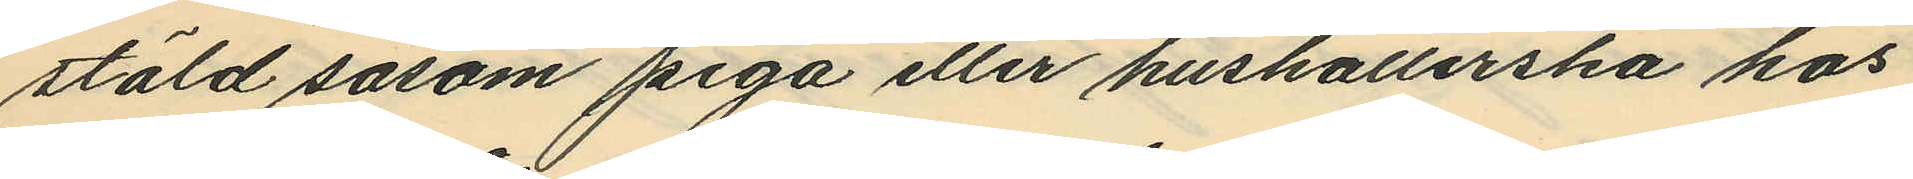stäld såsom piga eller hushållerska hos
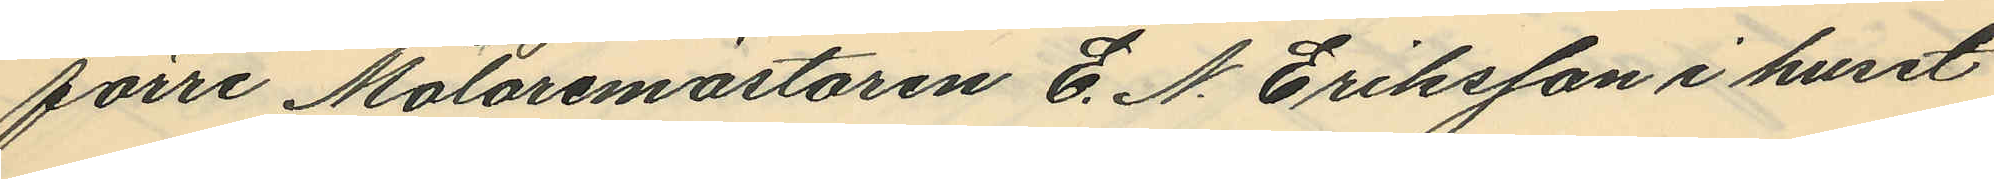förre Målaremästaren E. N. Eriksson i huset
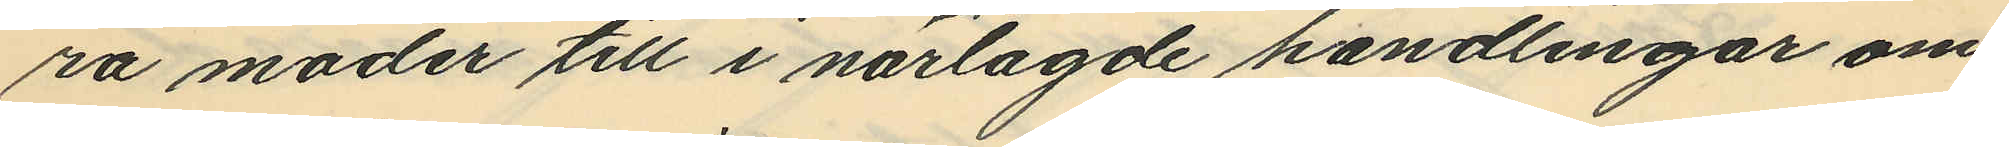ra moder till i närlagde handlingar om¬
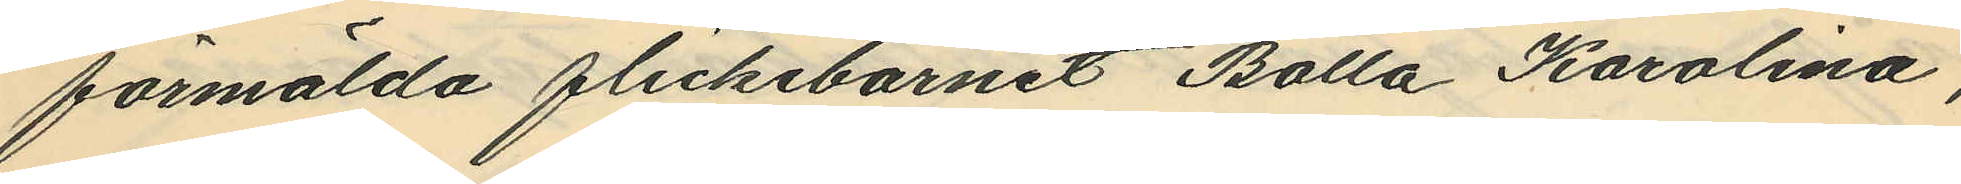förmälda flickebarnet Bolla Karolina;
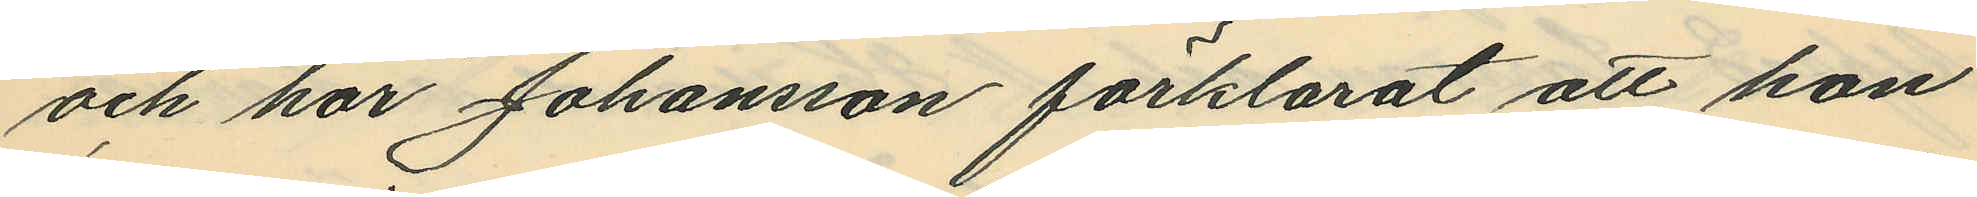och har Johansson förklarat att hon
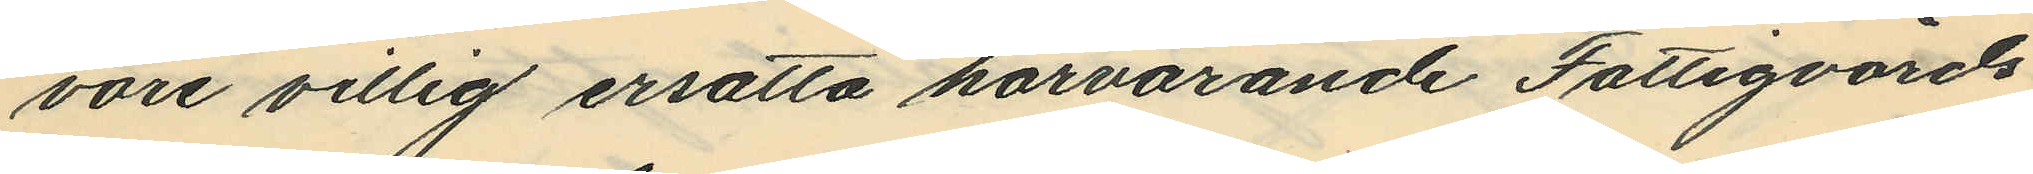vore villig ersatta härvarande Fattigvårds
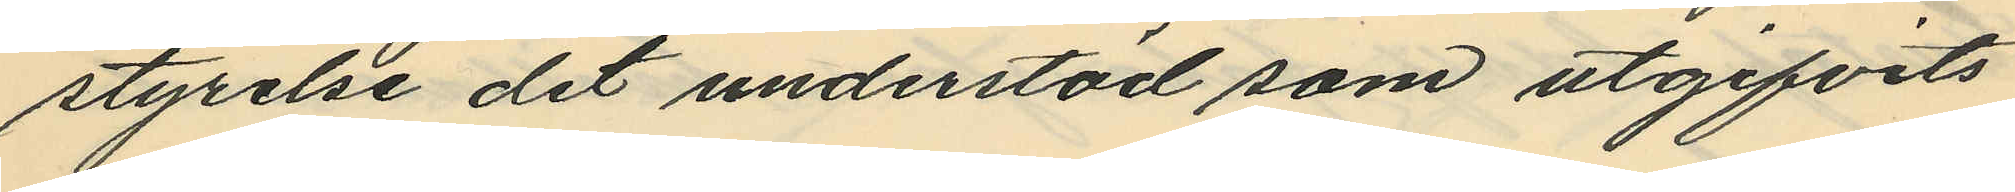styrelse det understöd som utgifvits
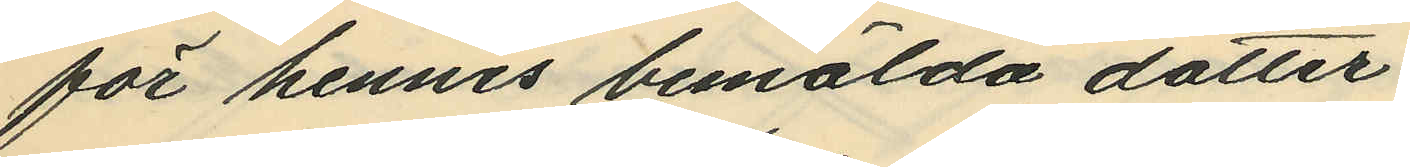för hennes bemälda dotter.
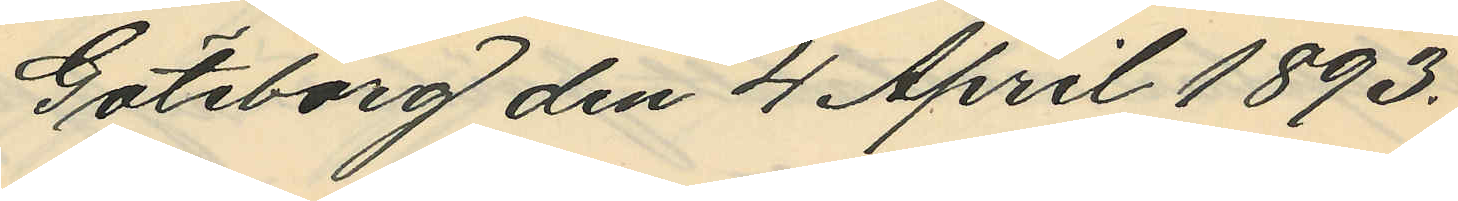Göteborg den 4 April 1893.
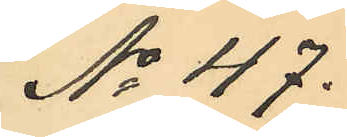No 47.
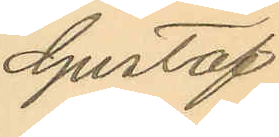Gustaf
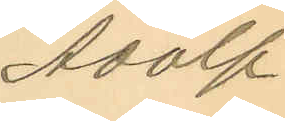Adolf
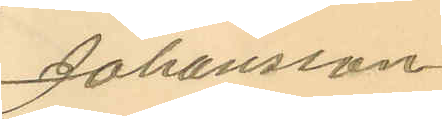Johansson
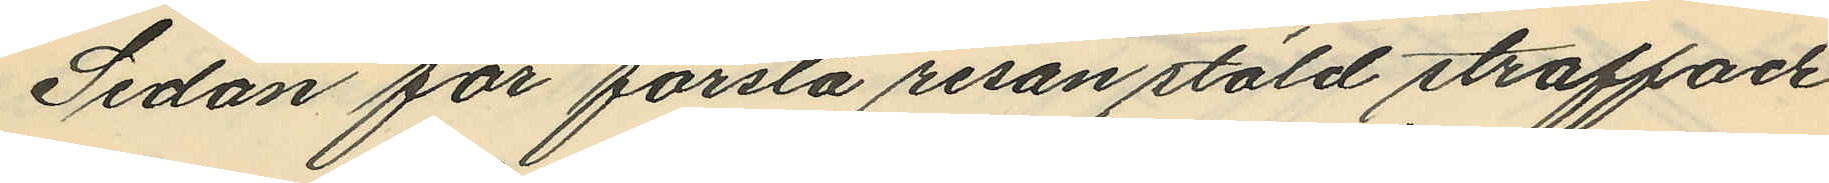Sedan för första resan stöld straffade
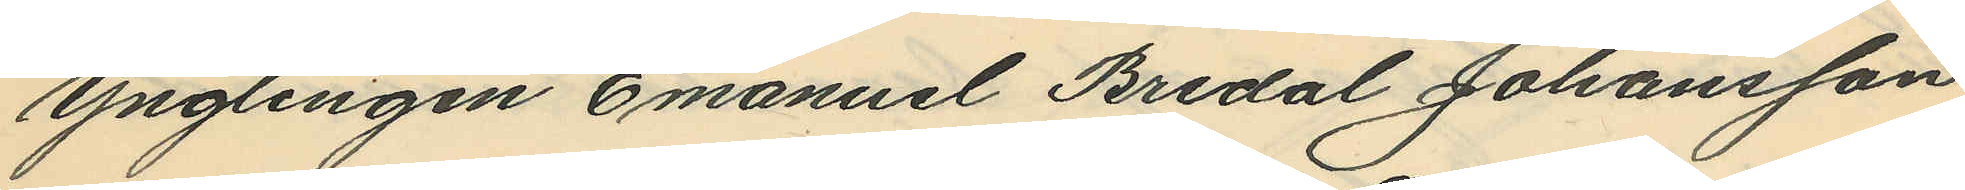ynglingen Emanuel Bredal Johansson
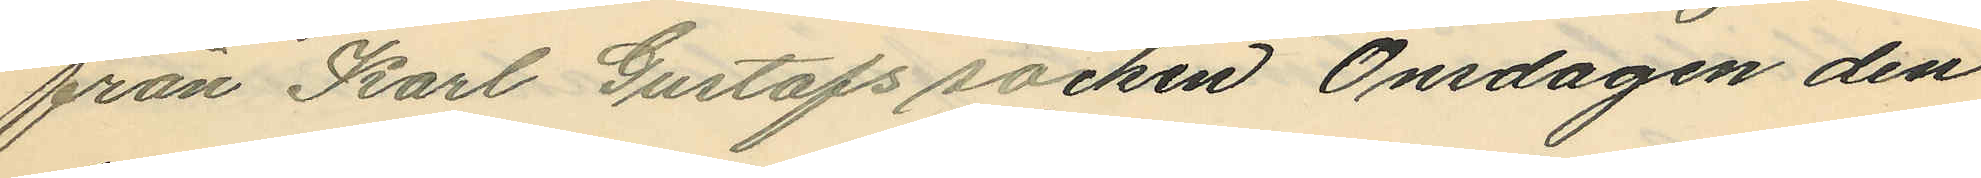från Karl Gustafs socken Onsdagen den
